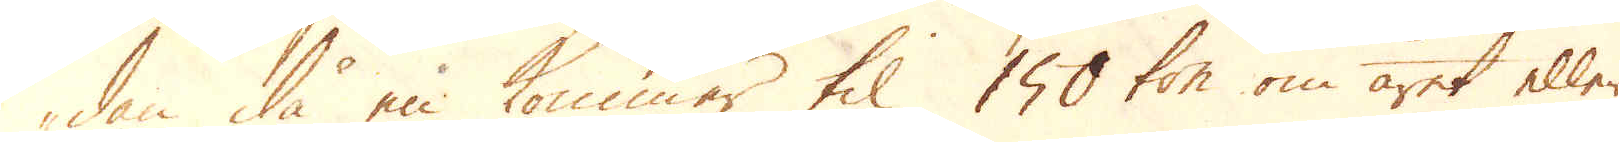dan då en kommer til 150 ton om året eller
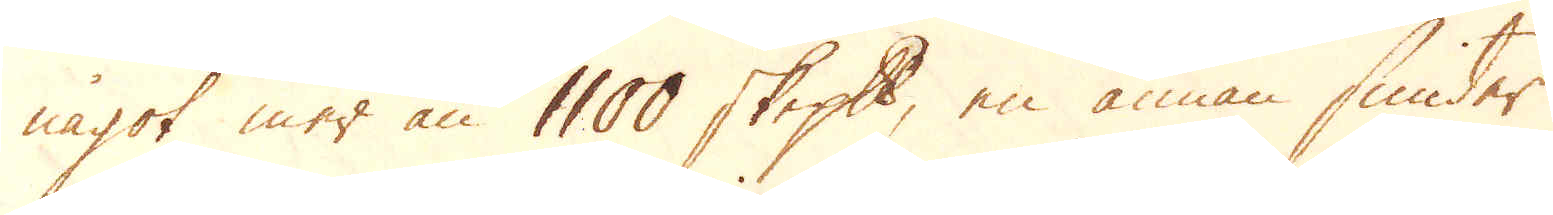något mer än 1100 skeppund, en annan smider
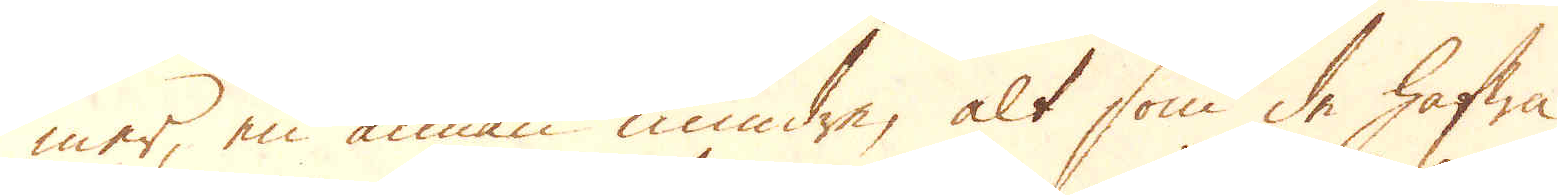mer, en annan mindre, alt som de hafwa
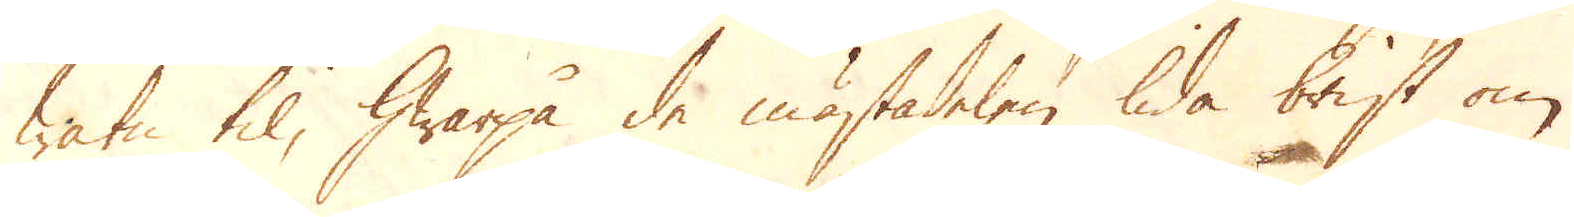watn til, hwarpå de mästadelen lida brist om
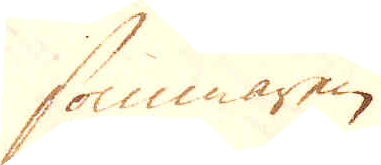sommaren.
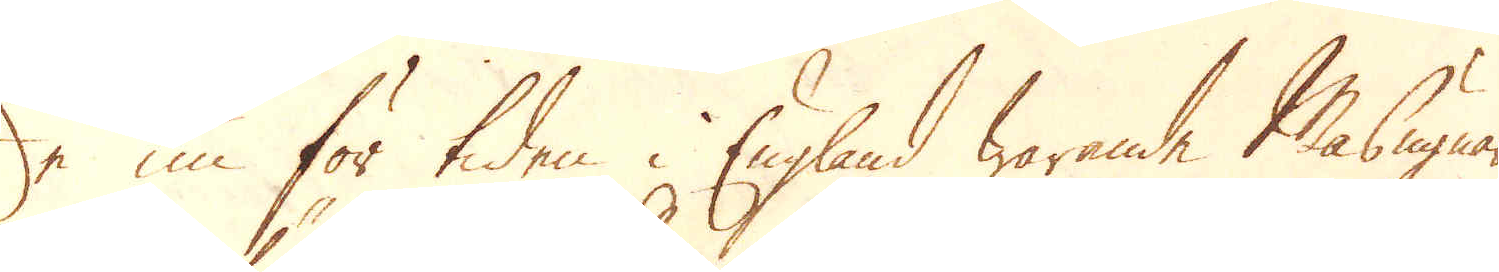De nu för tiden i England warande Masugnar
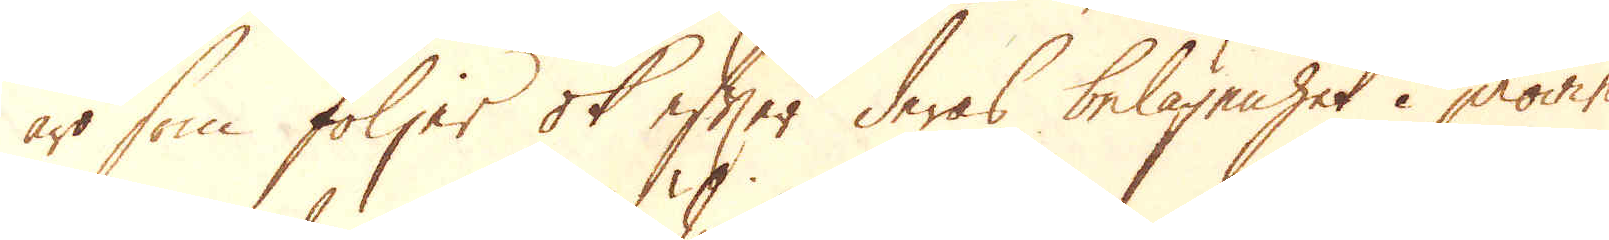äro som följer ok efter deras belägenhet i provin-
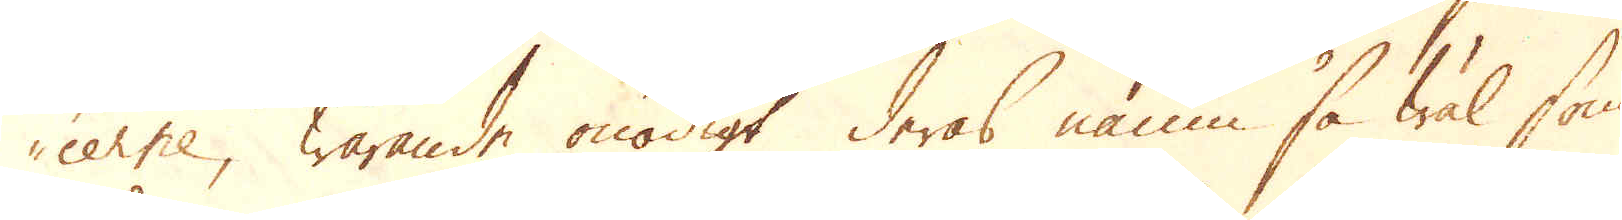cerne, warande onödigt deras namn så wäl som
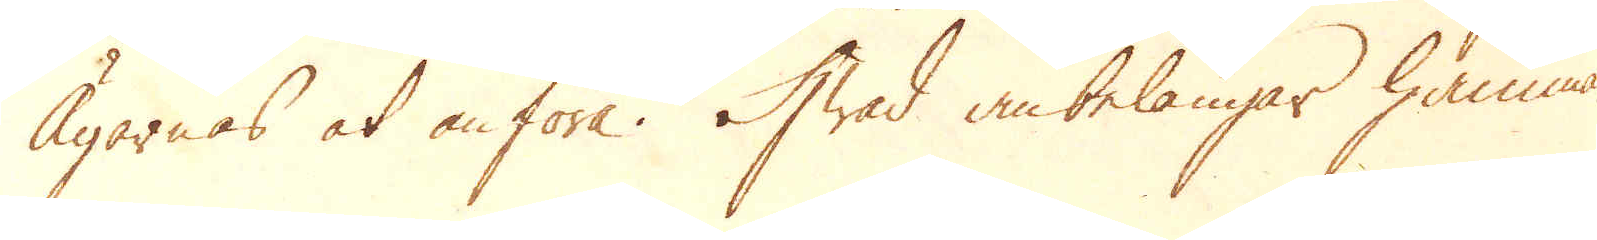Ägarnas at anföra. Hwad anbelangar hammar-
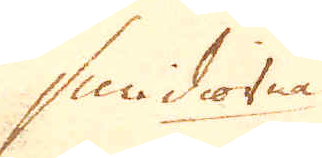smidiorna.
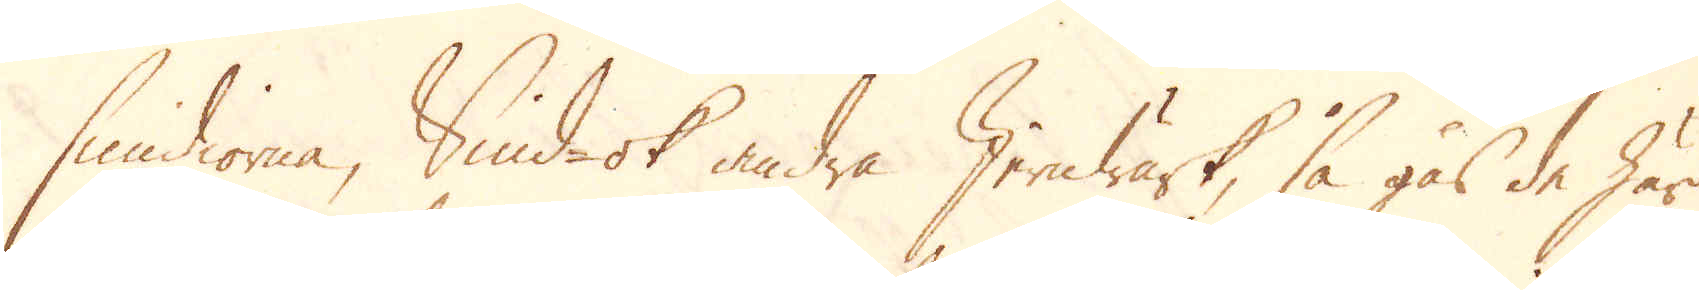smidiorna, Smid- ok andra Jernwärk, så gås de här
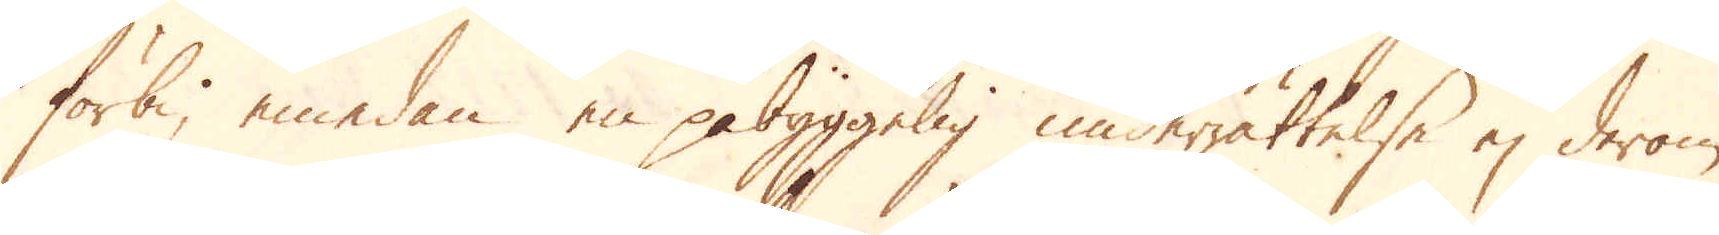förbi, emedan en påbyggelig underrättelse ej derom
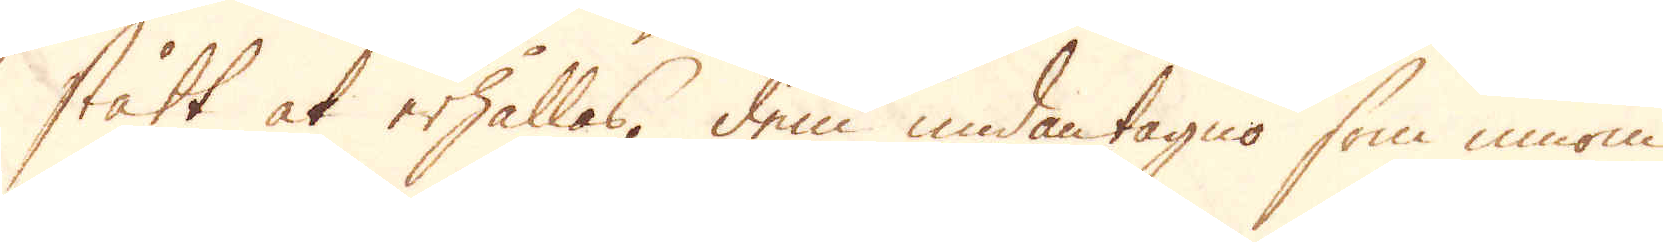stått at erhållas, dem undantagne som innom
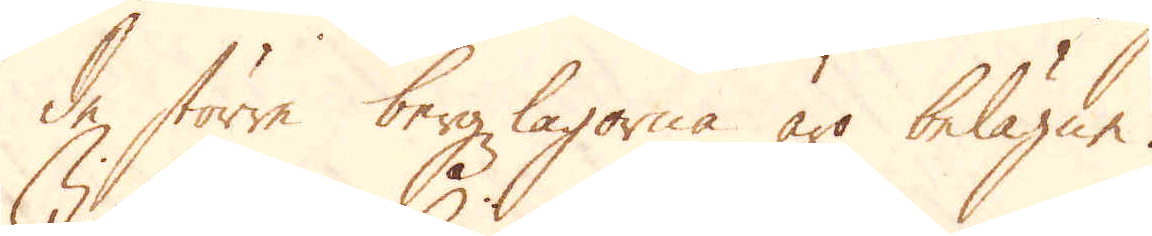de större bergzlagorna äro belägne.
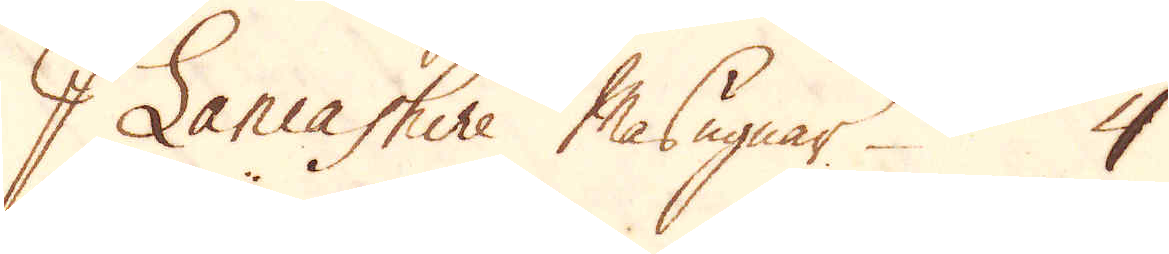I Lancashire Masugnar 4
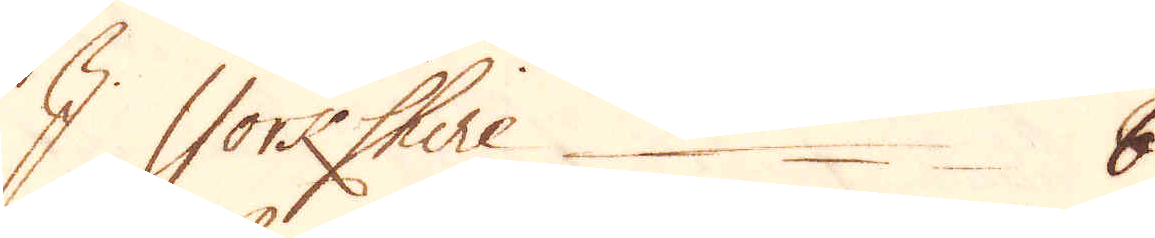I Yorkshire 8
